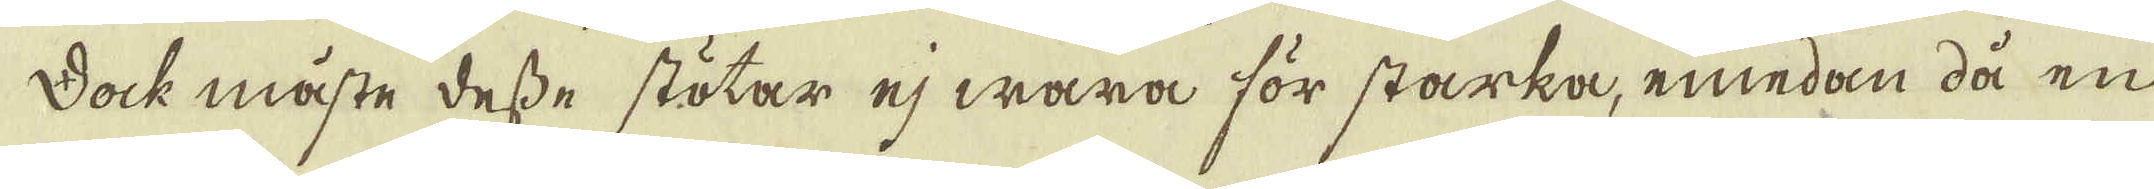Dock måste desse stötar ej wara för starka, emedan då en
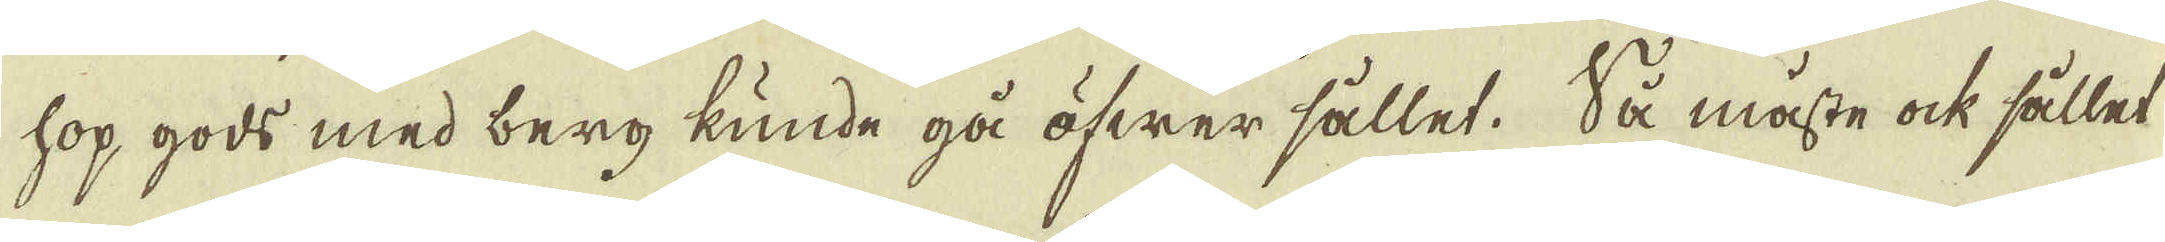hop gods med berg kunde gå öfwer sållet. Så måste ock sållet
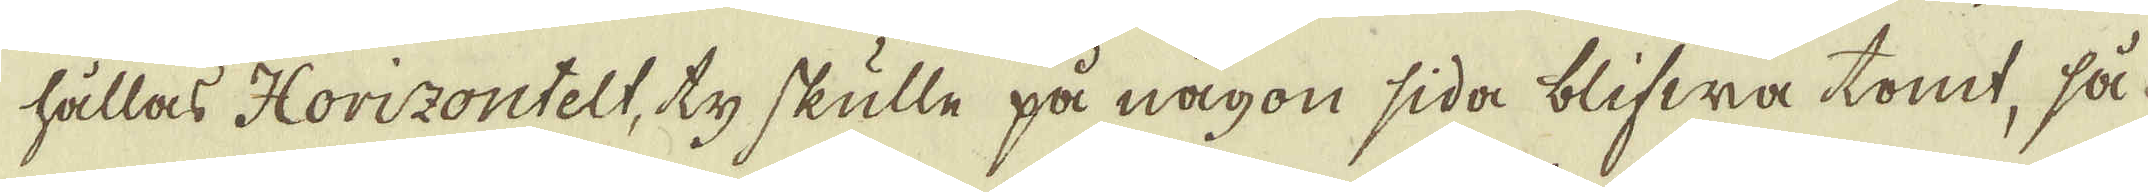hållas Horizontelt, ty skulle på någon sida blifwa tomt, så-
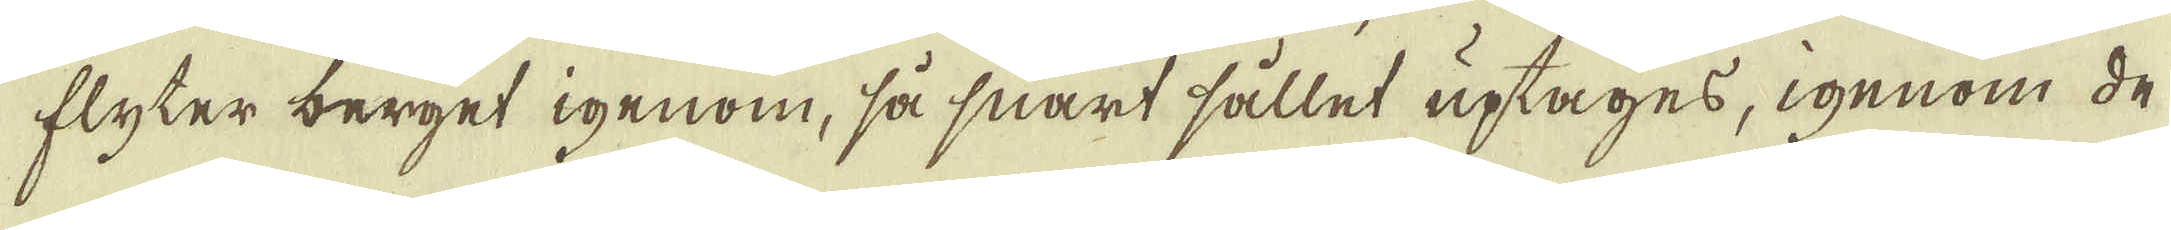flyter berget igenom, så snart sållet uptages, igenom de
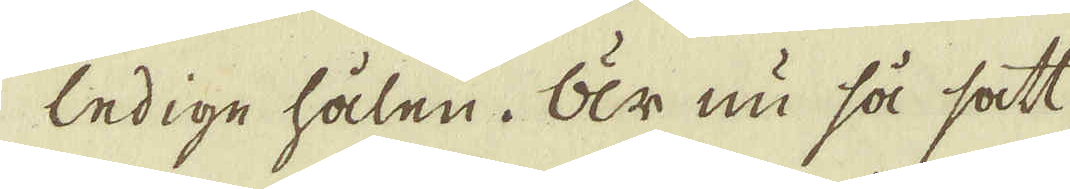ledige hålen. Är nu så sätt,
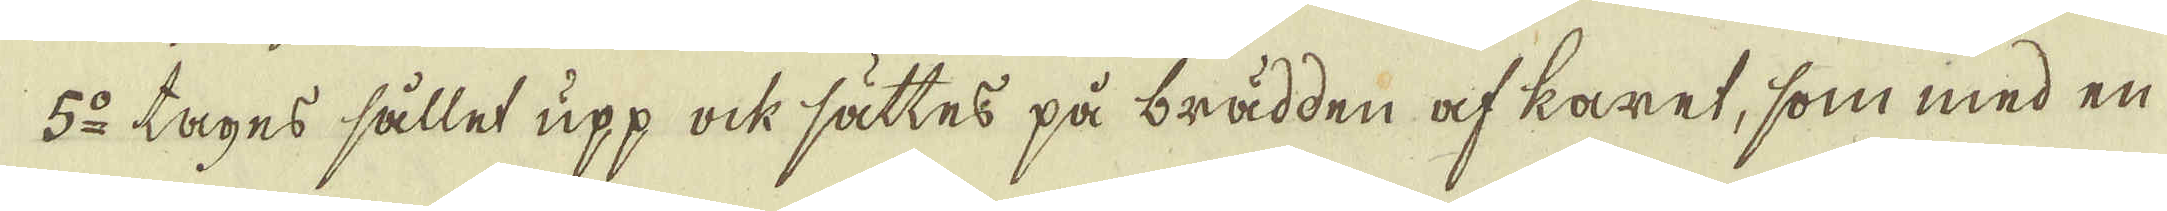5:o tages sållet upp ock sättes på brädden af karet, som med en
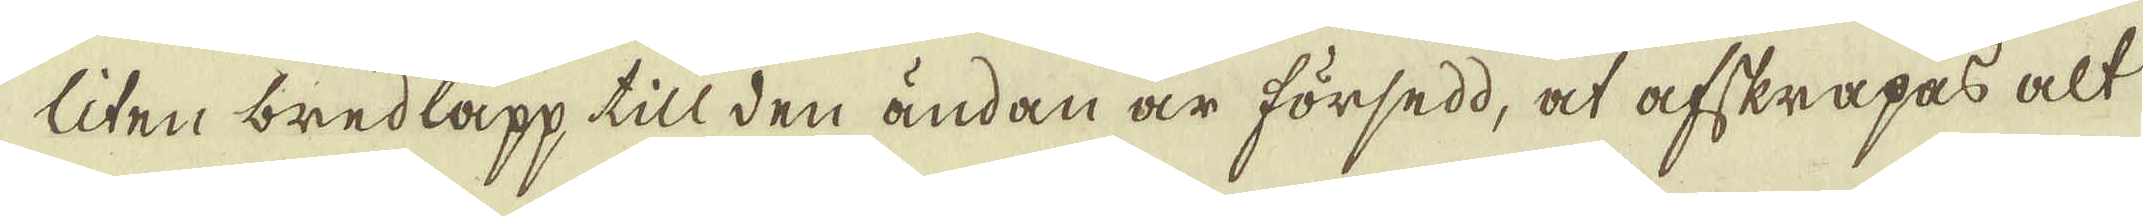liten bredlapp till den ändan är försedd, at afskrapas alt
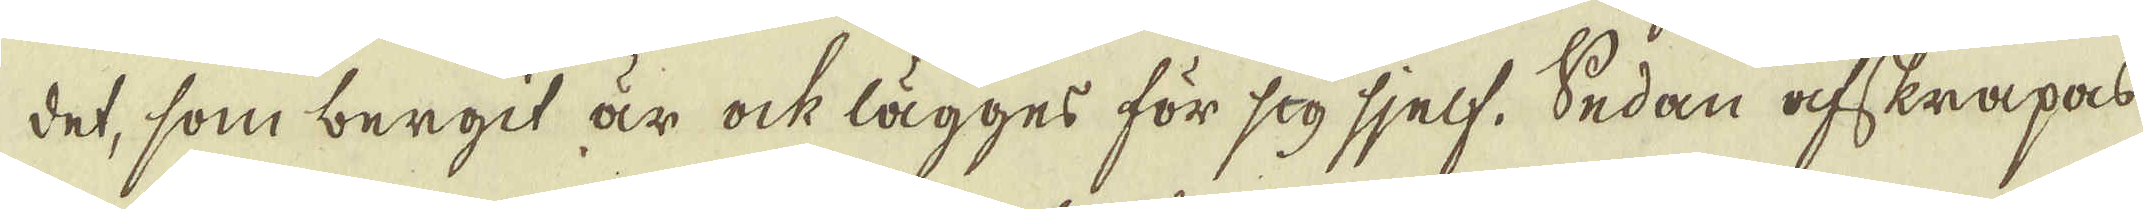det, som bergit är ock lägges för sig sjelf. Sedan afskrapas
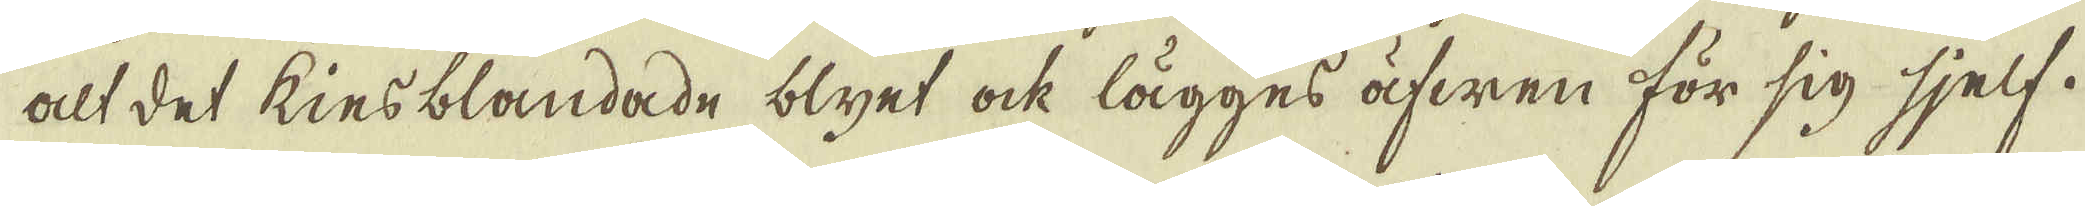alt det kiesblandade blyet ock lägges äfwen för sig sjelf.
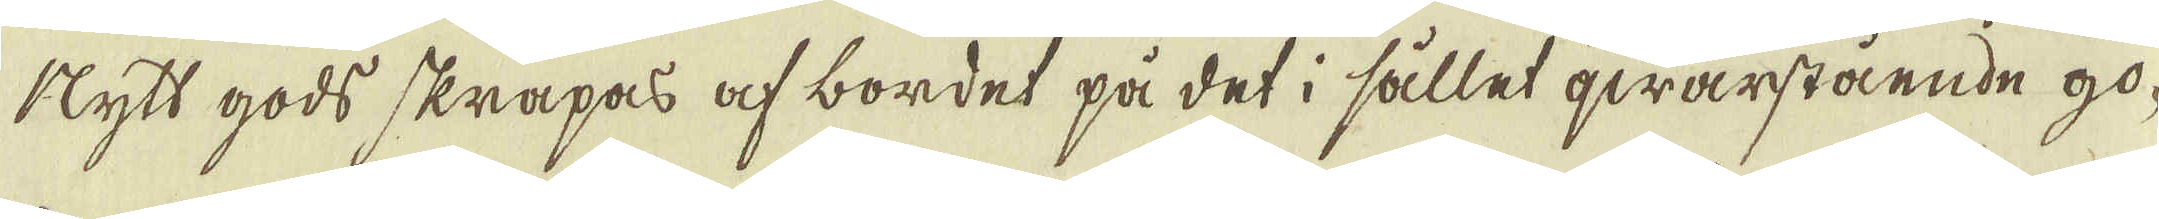Nlytt gods skrapas af bordet på det i sållet qwarstående go-
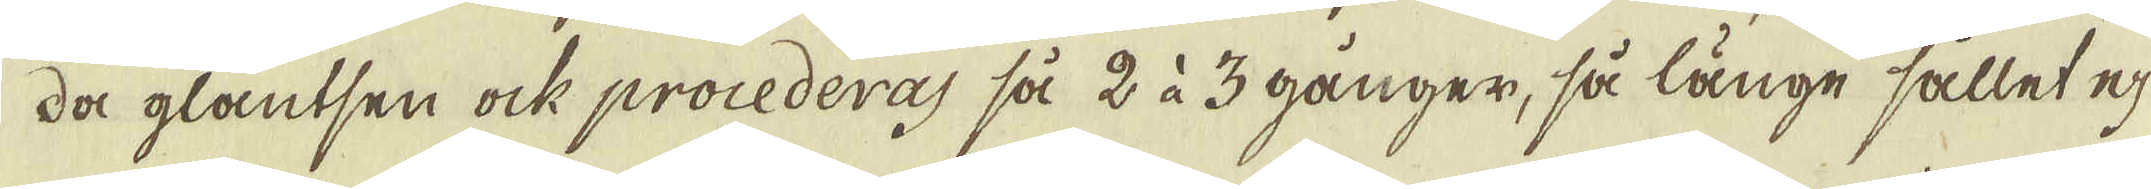da glantsen ock procederas så 2 à 3 gånger, så länge sället ej
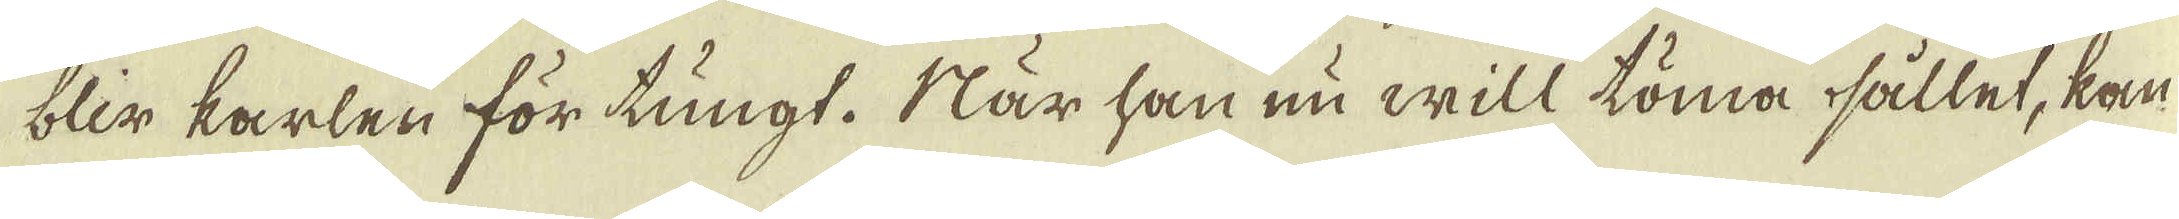blir karlen för tungt. När han nu will töma sållet, kan
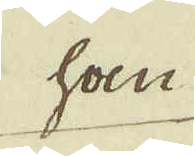han
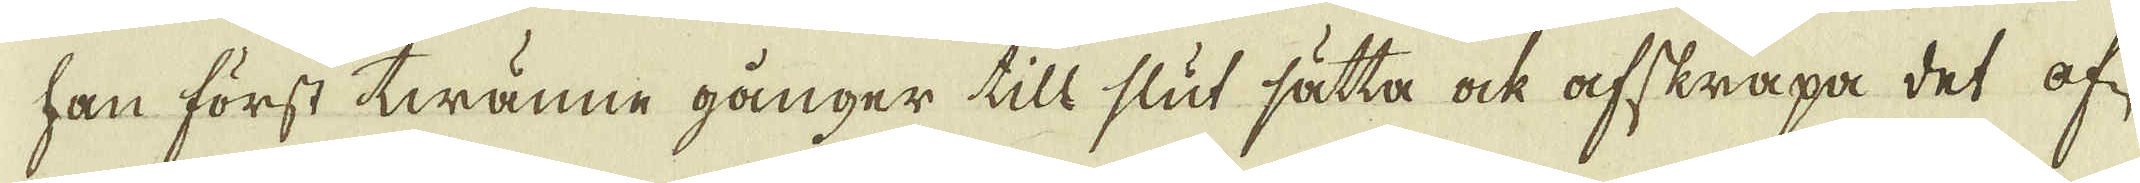han först twänne gånger till slut sätta ock afskrapa det of-
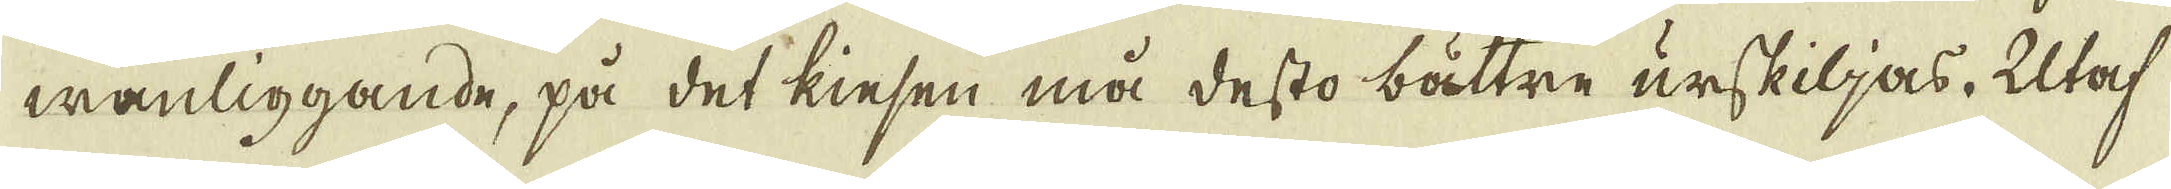wanliggande, på det kiesen må desto bättre urskiljas. Utaf
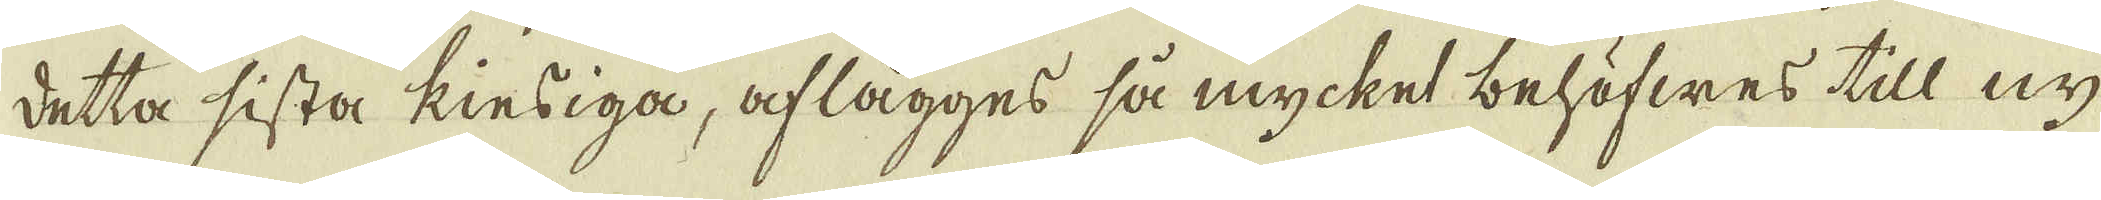detta sista kiesiga, aflägges så mycket behöfwes till ny
